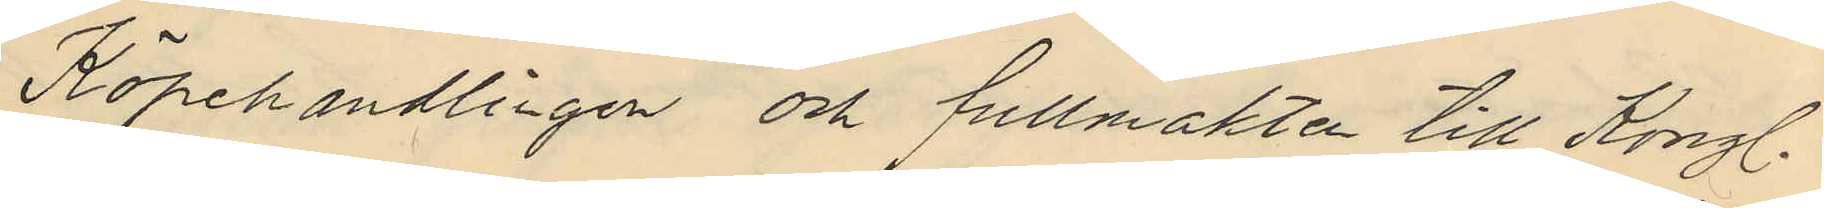Köpehandlingen och fullmakten till Kongl.
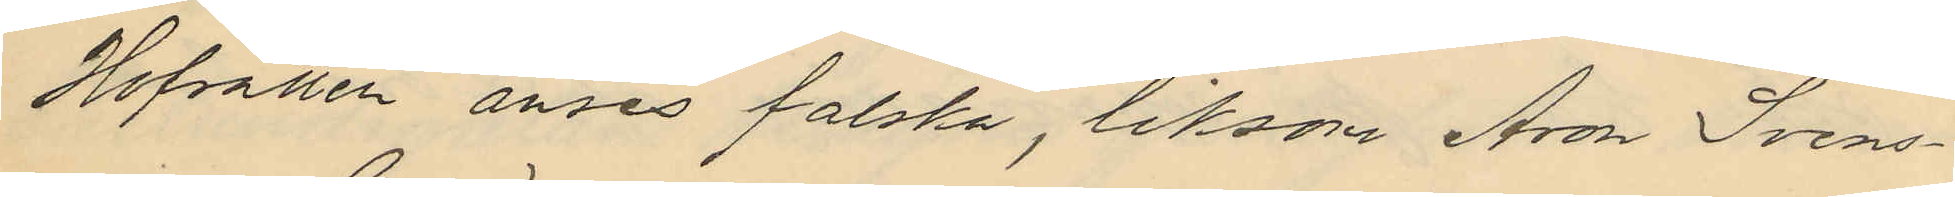Hofrätten anses falska, liksom Aron Svens¬
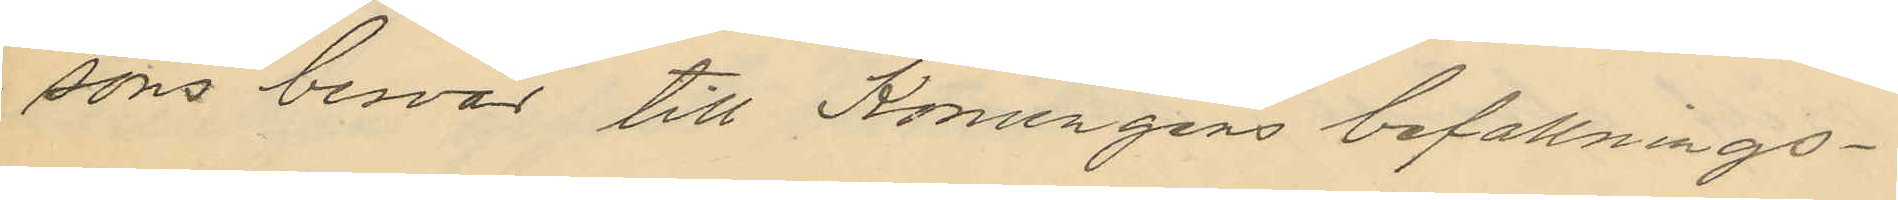sons besvär till Konungens befallnings¬
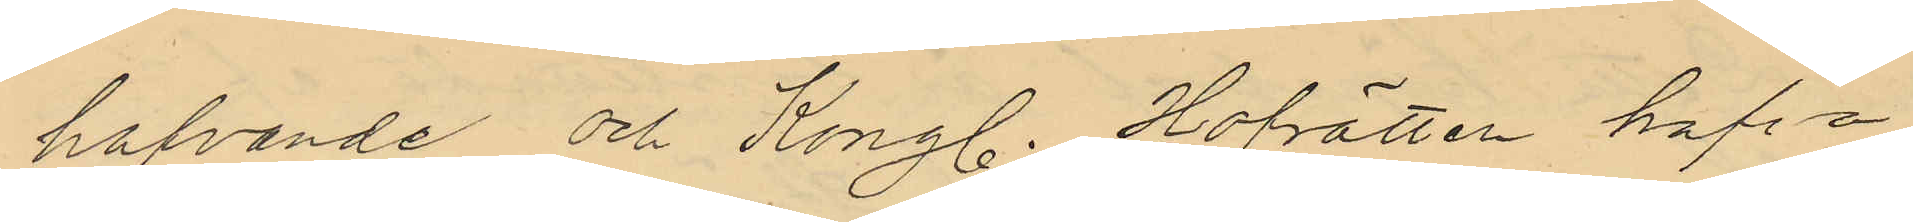hafvande och Kongl. Hofrätten hafva
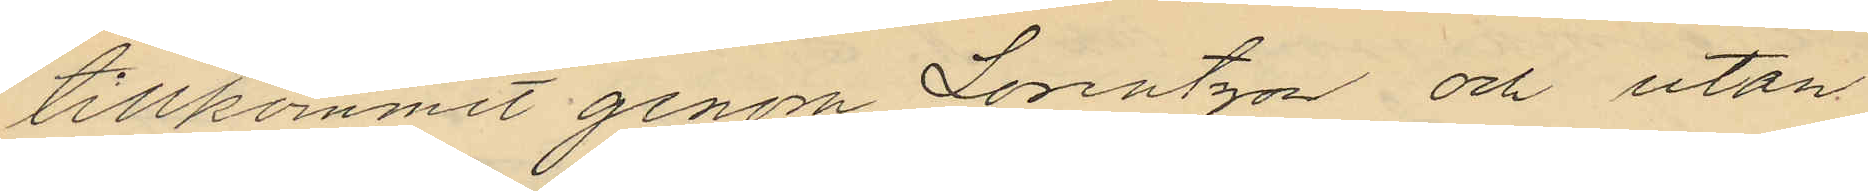tillkommit genom Lorentzon och utan
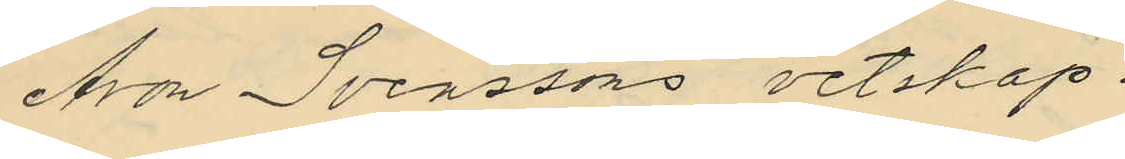Aron Svenssons vetskap.
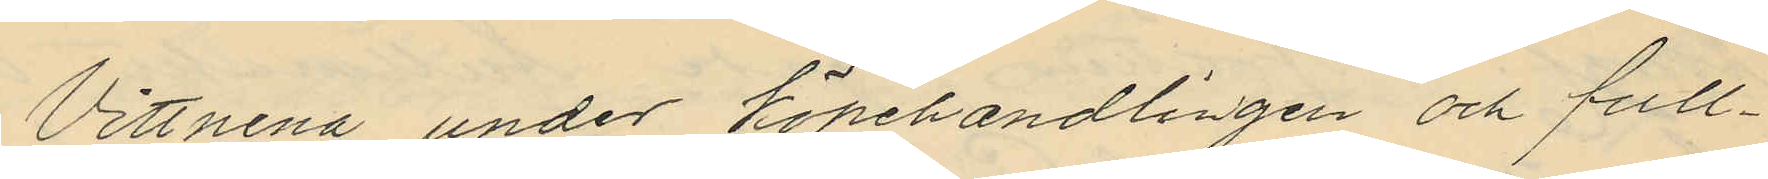Vittnena under köpehandlingen och full¬
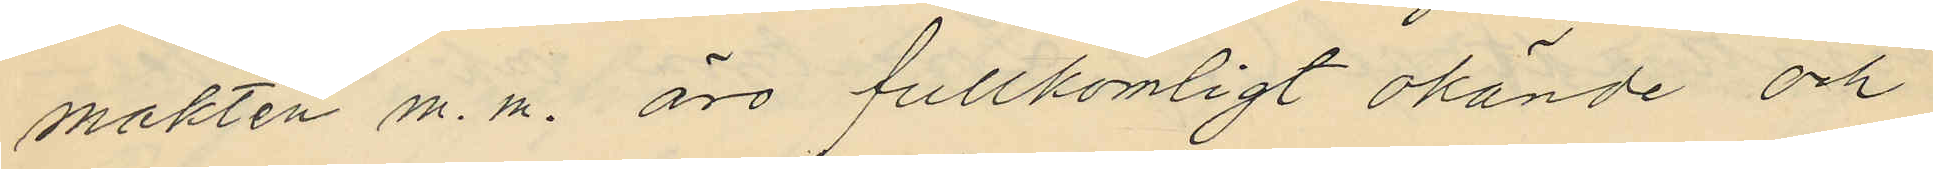makten m. m. äro fullkomligt okände och
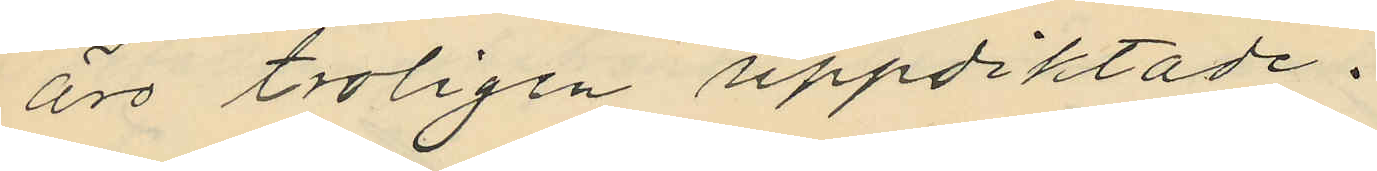äro troligen uppdiktade.
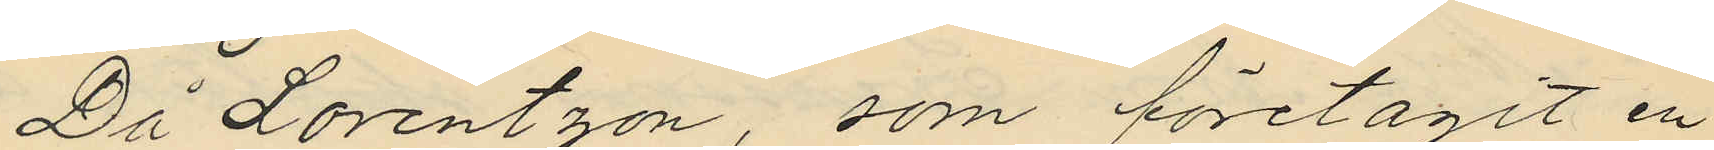Då Lorentzon, som företagit en
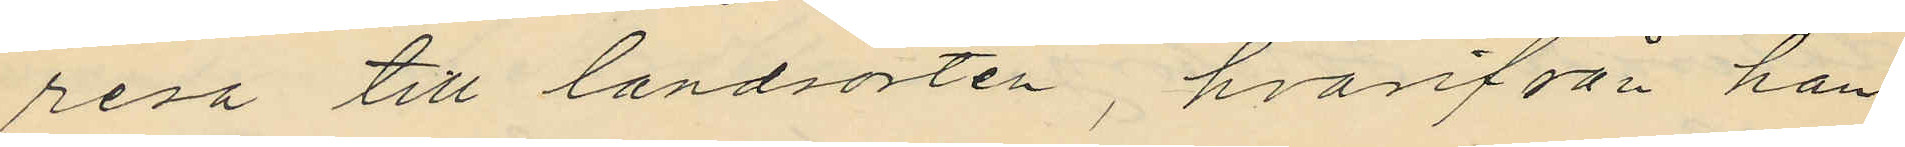resa till landsorten, hvarfrån han
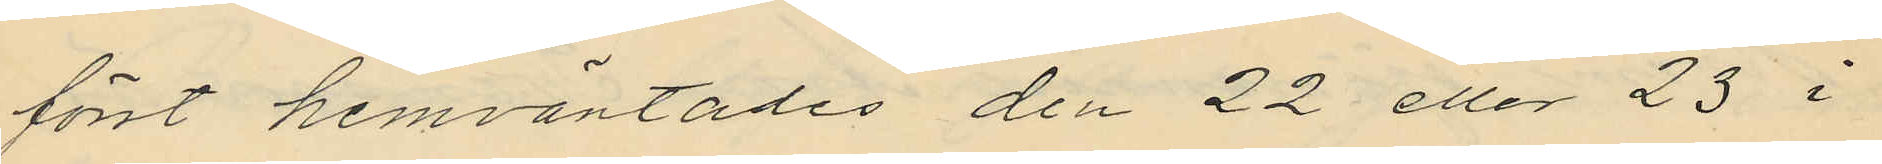först hemväntades den 22 eller 23 i
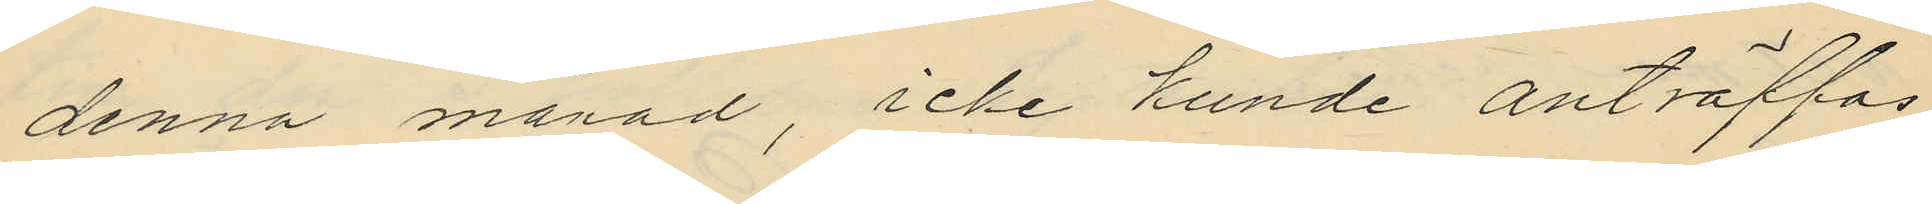denna månad, icke kunde anträffas
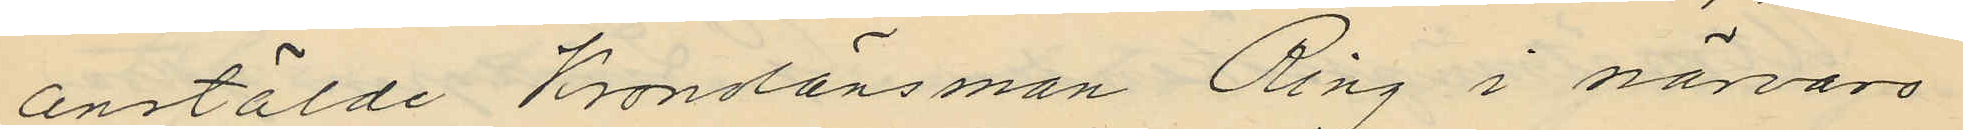anstälde Kronolänsman Ring i närvaro
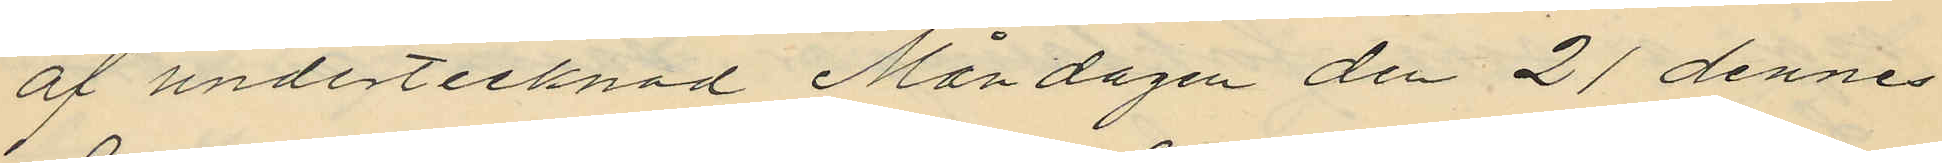af undertecknad Måndagen den 21 dennes
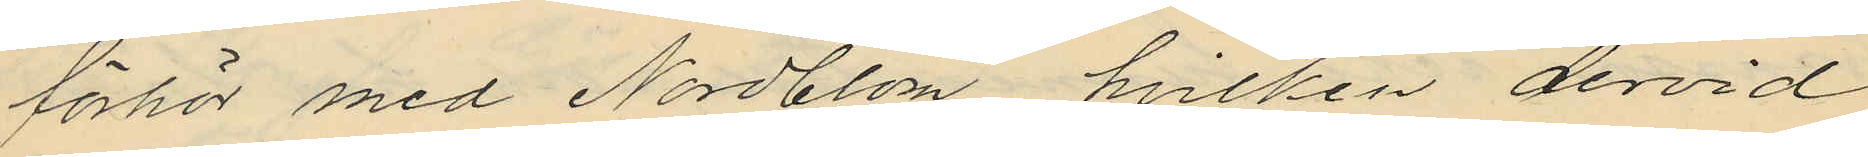förhör med Nordblom, hvilken dervid
